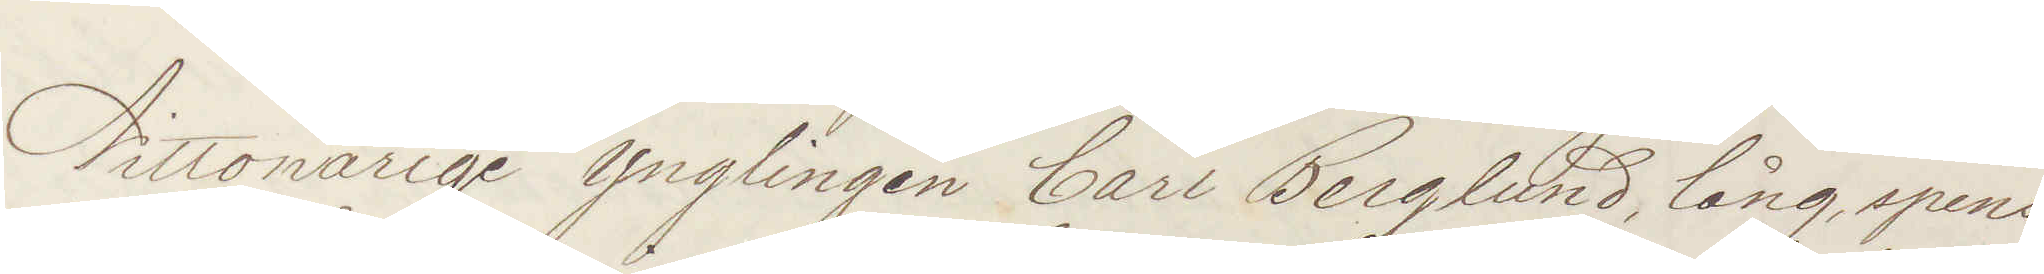Nittonårige Ynglingen Carl Berglund, lång, spens¬
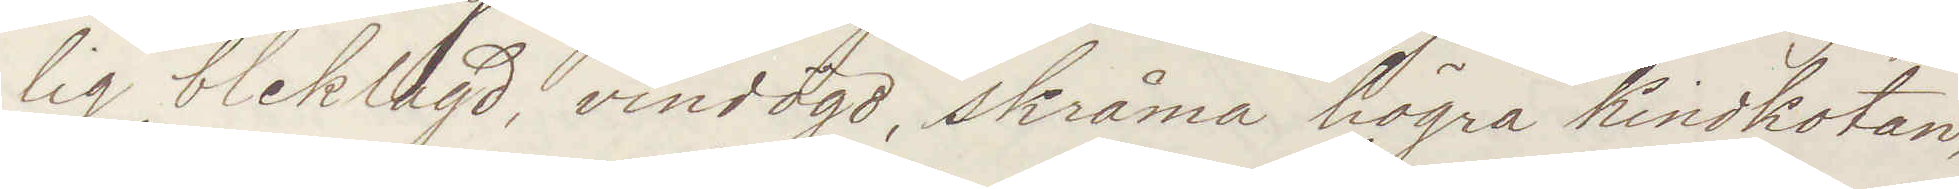lig, bleklagd, vindögd, skråma högra kindkotan,
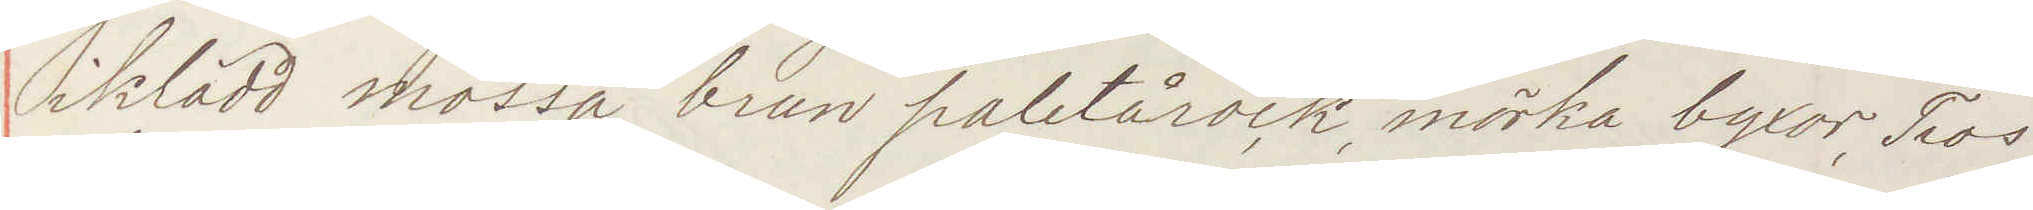iklädd mössa, brun paletårock, mörka byxor, Tros
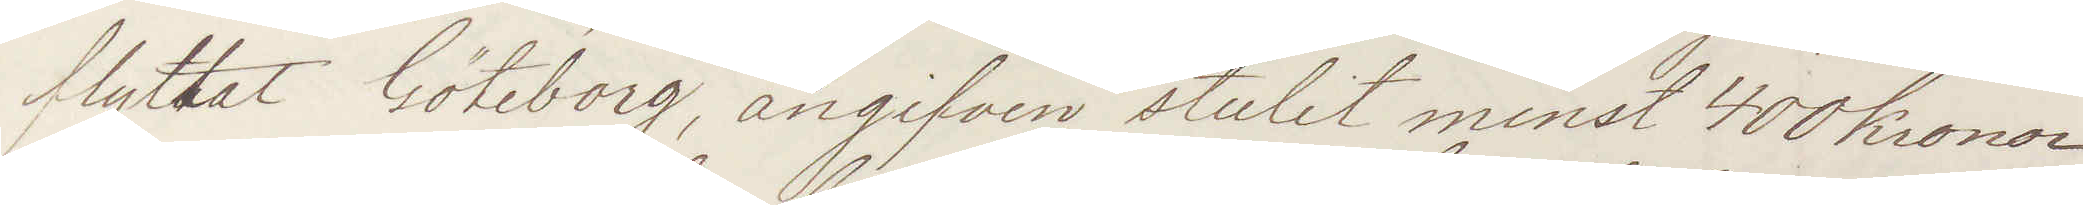flyttat Göteborg, angifven stulit minst 400 kronor
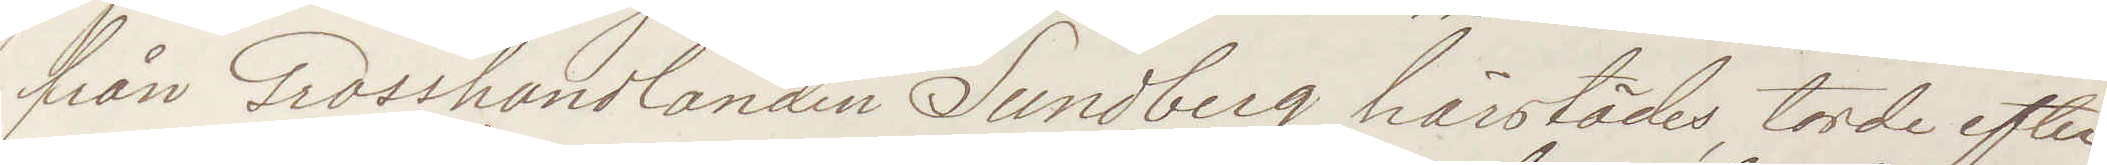från Grosshandlanden Sundberg härstädes, torde efter¬
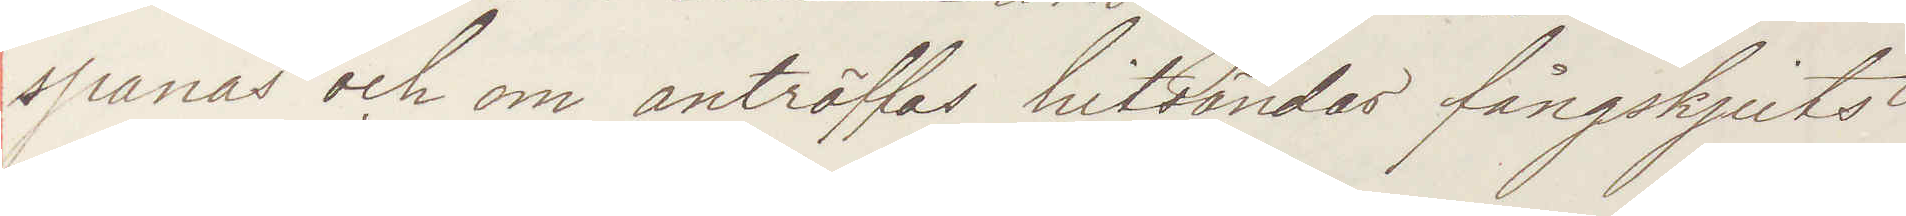spanas och om anträffas hitsändas fångskjuts
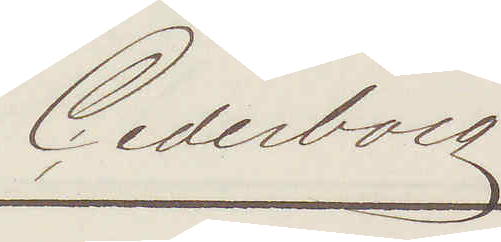Cederborg
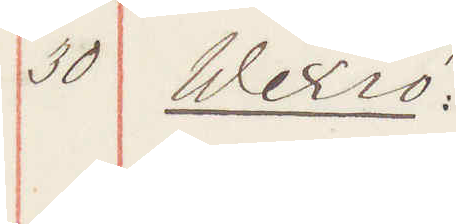30 Wexiö:
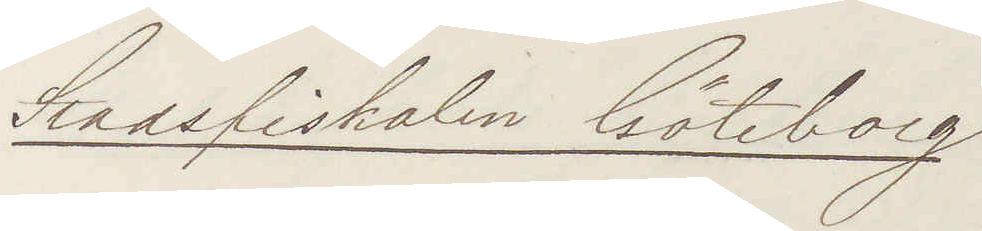Stadsfiskalen Göteborg
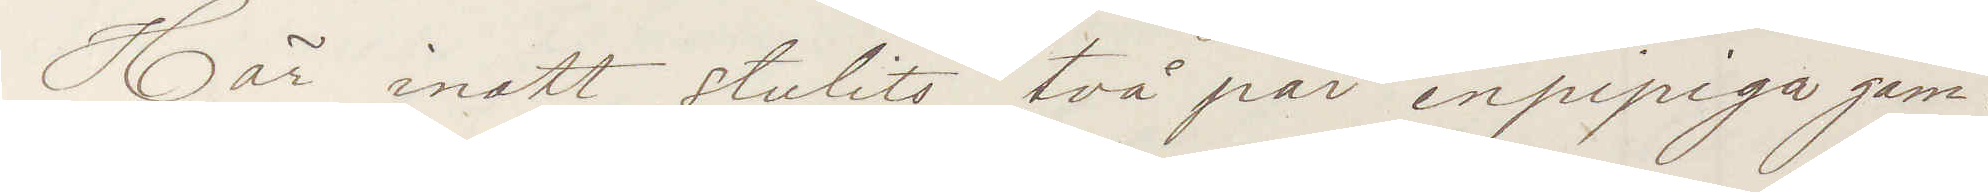Här inatt stulits två par enpipiga gam¬
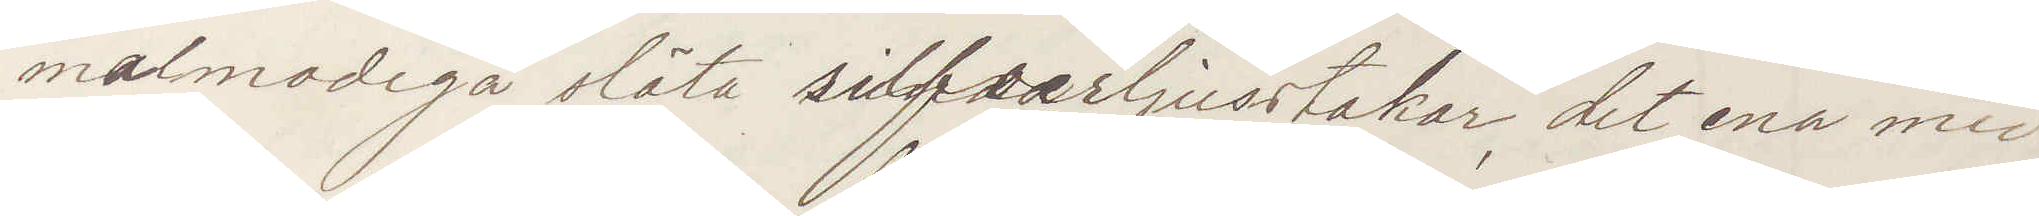malmodiga släta silfverljusstakar, det ena med
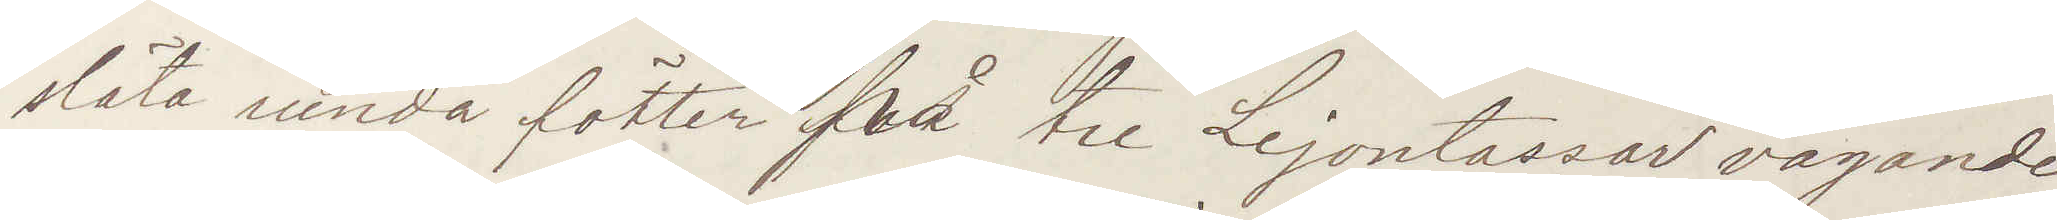släta runda fötter på tre Lejontassar vägande
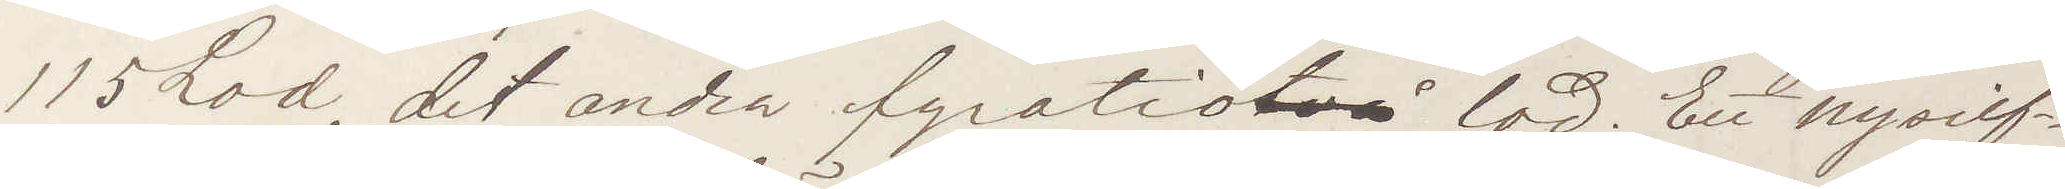115 Lod, det andra fyratiotvå lod. En nysilf¬
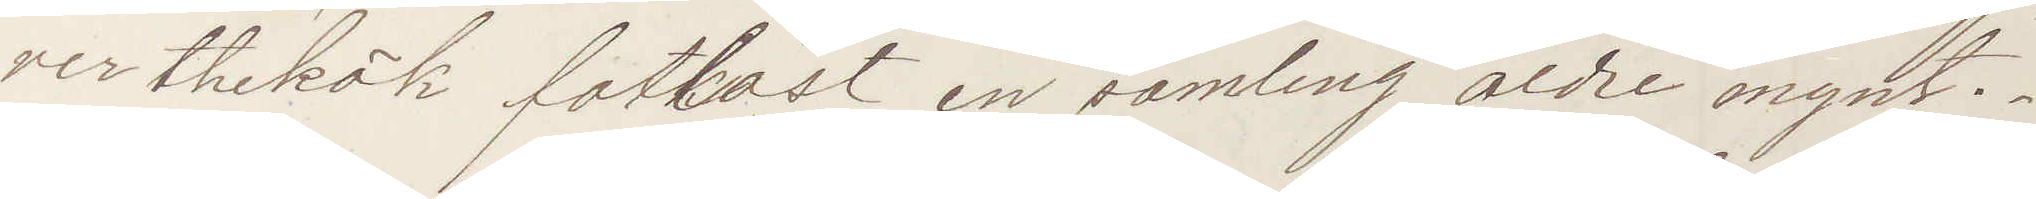ver thekök fotkast, en samling äldre mynt
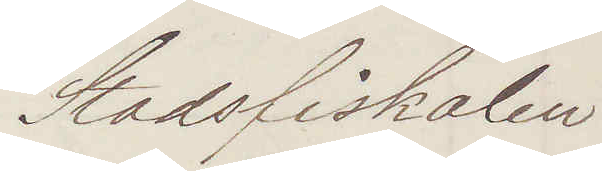Stadsfiskalen
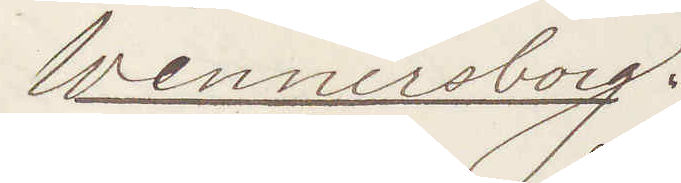Wennersborg.
